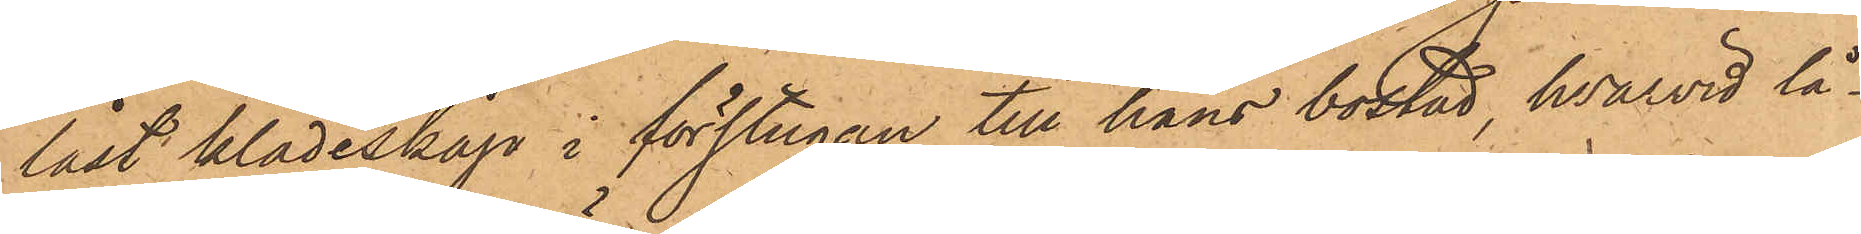låst klädeskåp i förstugan till hans bostad, hvarvid lå¬
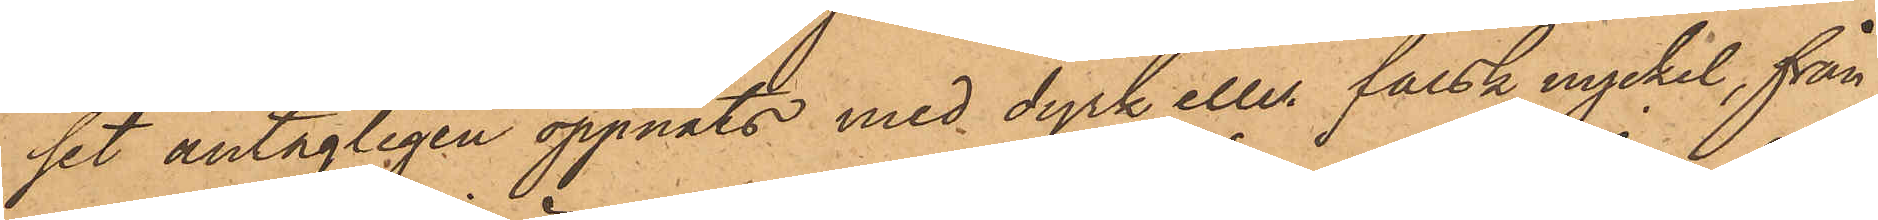set antagligen öppnats med dyrk eller falsk nyckel, från
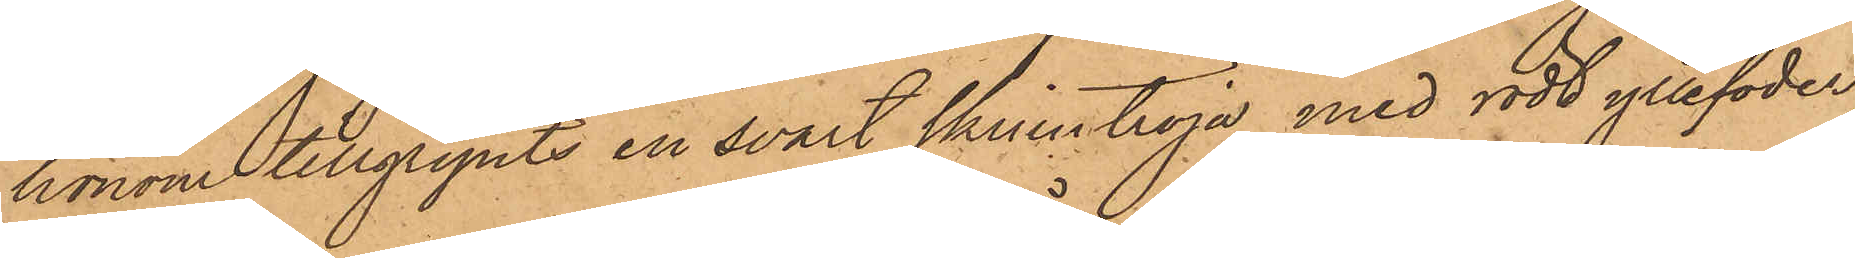honom tillgripits en svart skinntröja med rödt yllefoder,
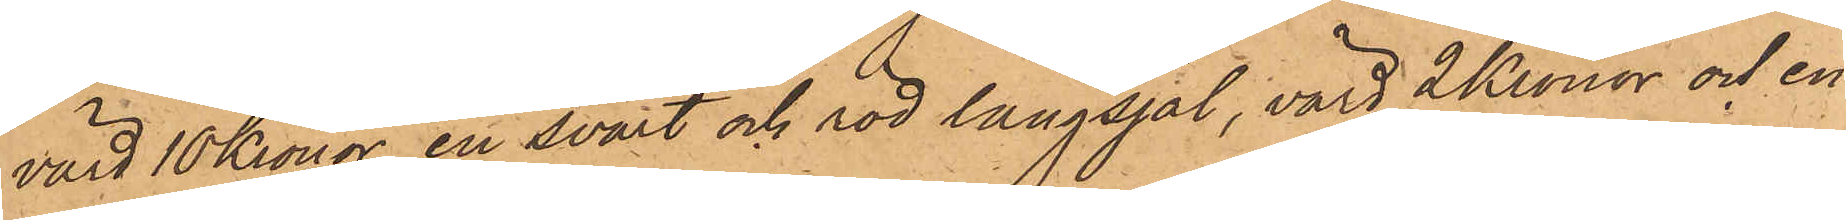värd 10 Kronor, en svart och röd långsjal, värd 2 Kronor och en
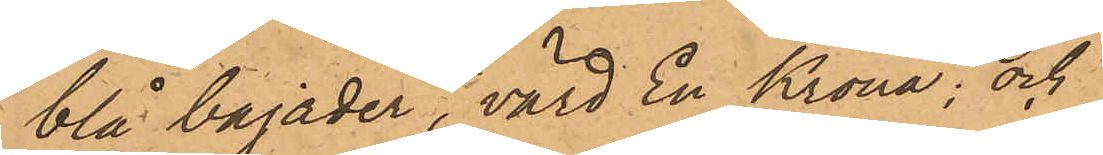blå bajader, värd En Krona; och
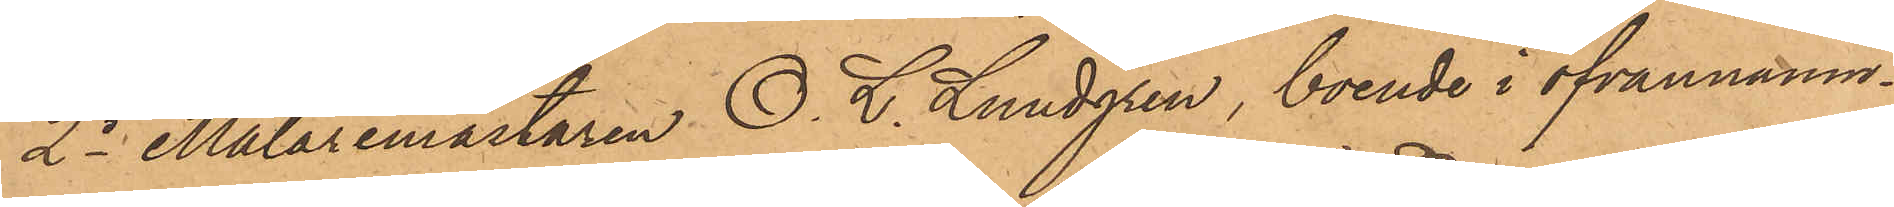2o Målaremästaren O. L. Lundgren, boende i ofvannämn¬
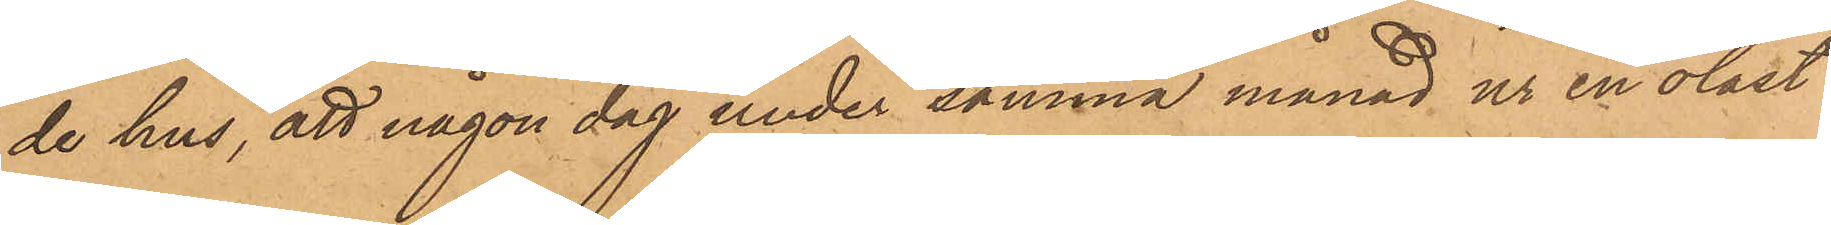de hus, att någon dag under samma månad ur en olåst
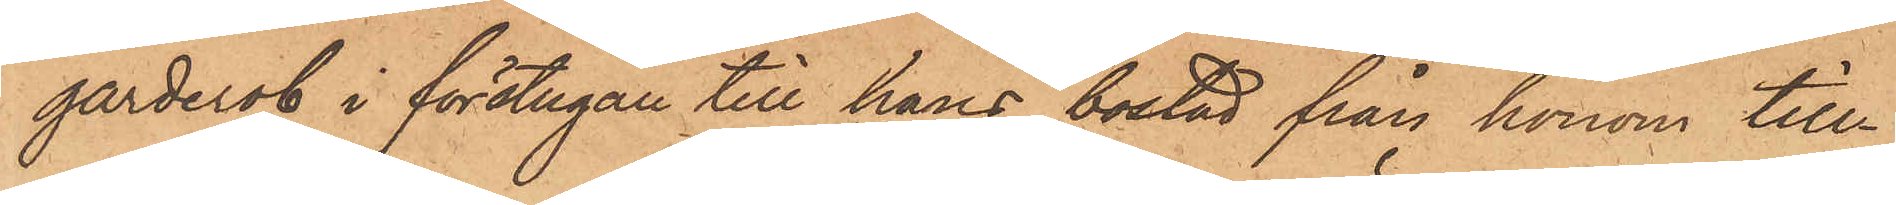garderob i förstugan till hans bostad från honom till¬
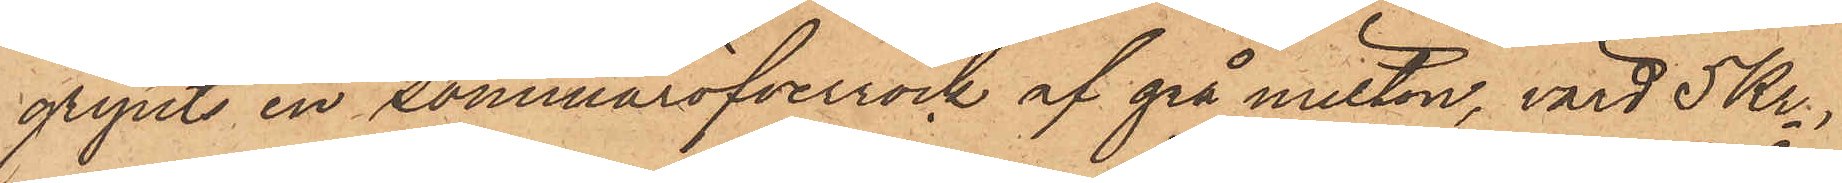gripits en sommaröfverrock af grå milton, värd 5 Kr.,
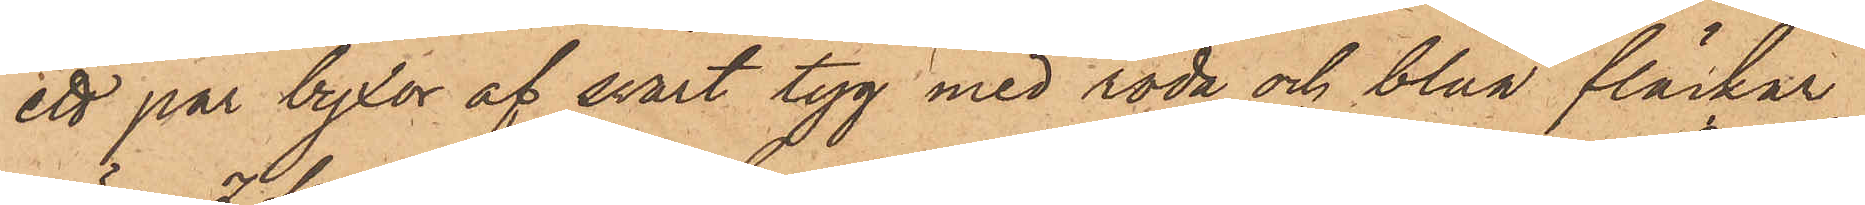ett par byxor af svart tyg med röda och blåa fläckar
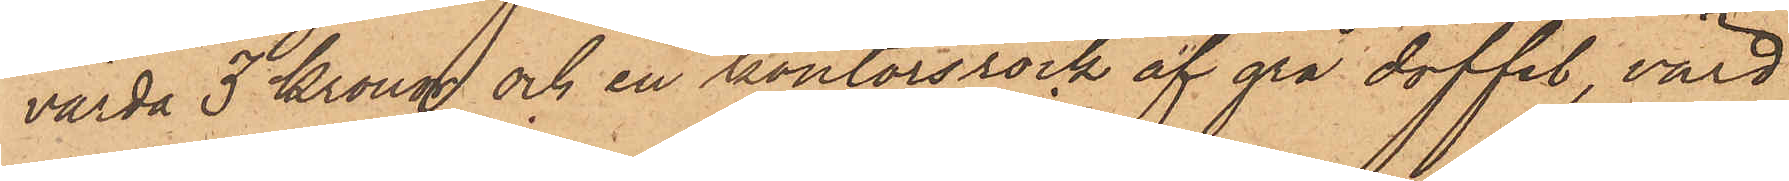värda 3 Kronor och en kontorsrock af grå doffel, värd
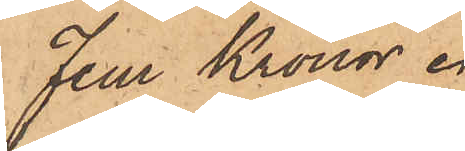Fem Kronor.
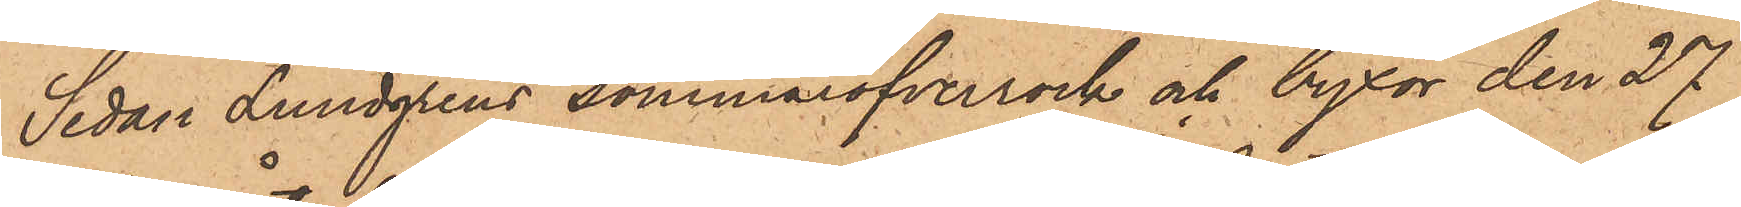Sedan Lundgrens sommaröfverrock och byxor den 27
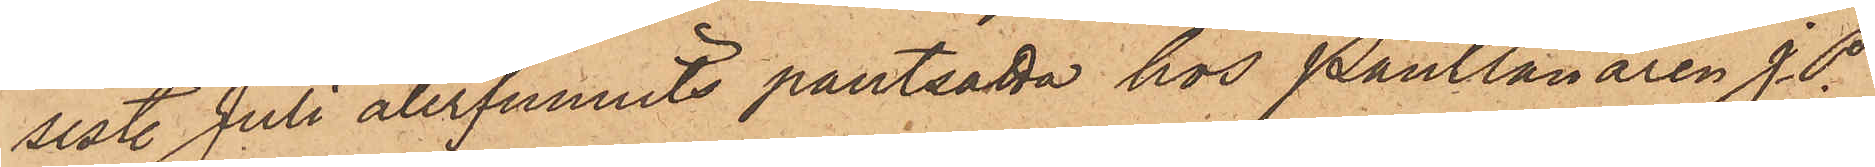sist. Juli återfunnits pantsatta hos Pantlånaren J. P.
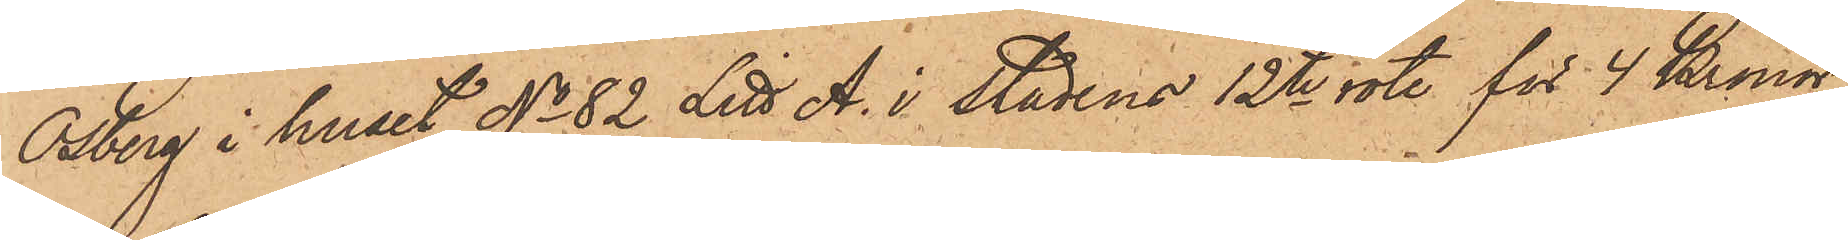Osberg i huset No 82 Litt A. i stadens 12te rote för 4 Kronor,
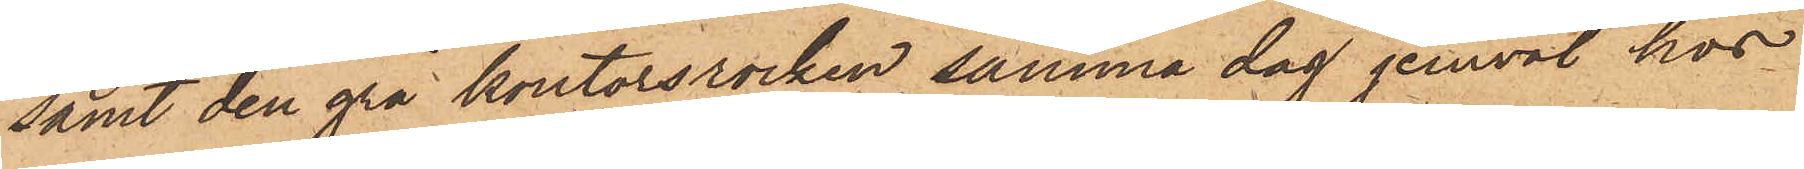samt den grå kontorsrocken samma dag jemväl hos
